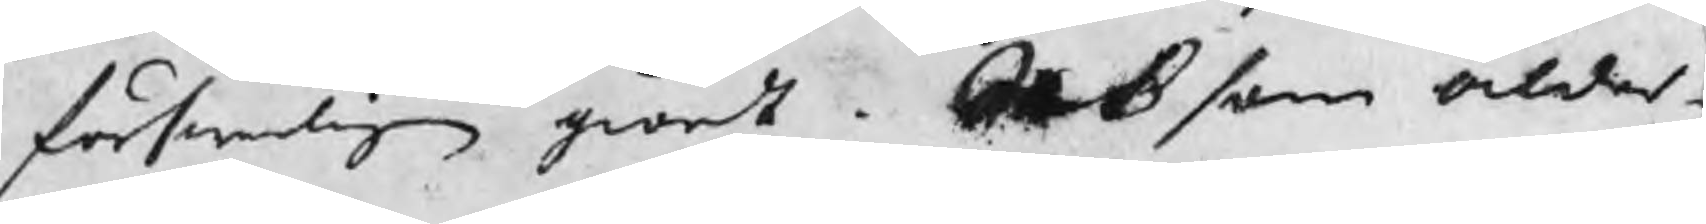förswarligen giordt. Ock som ålder¬
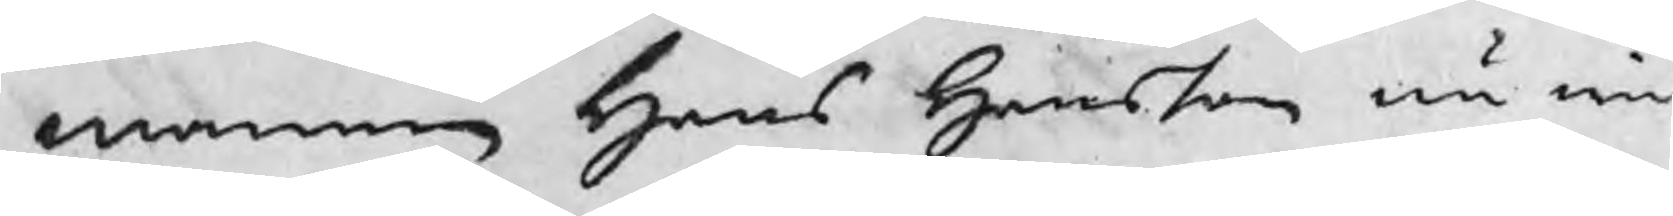mannen Hans Hansson nu wid
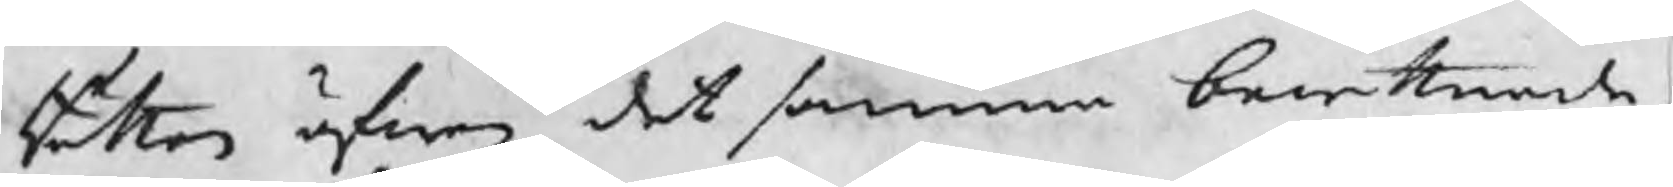Rätten äfwen det samma bewittnade,
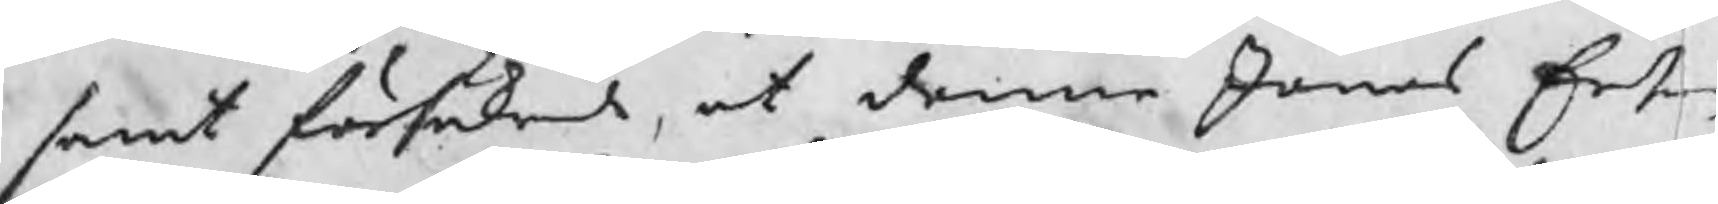samt försäkrade, at denne Jonas Erson
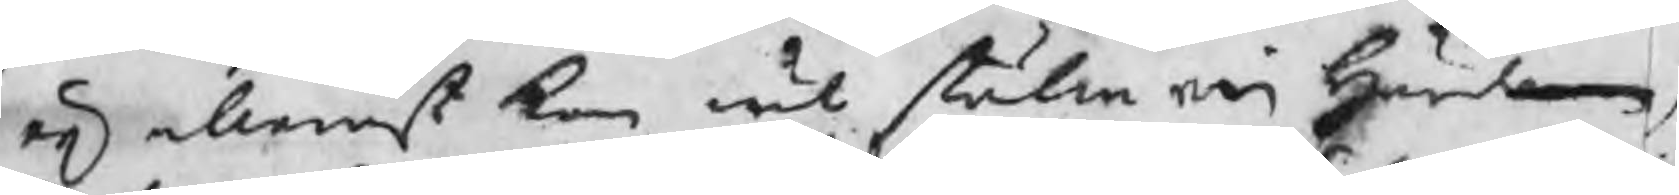eij allenast kan wäl ställa en härdarne,
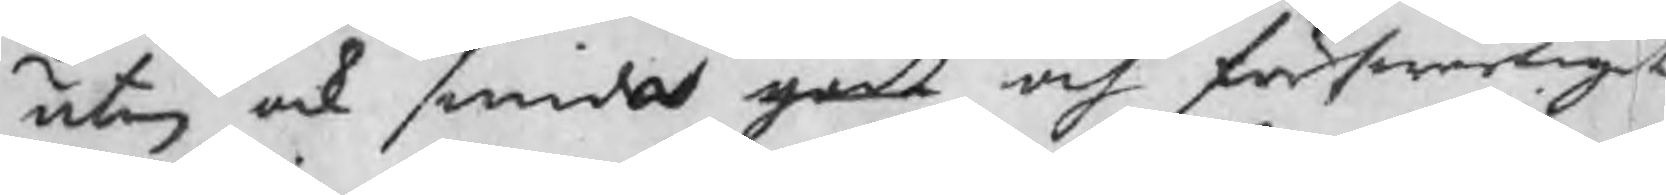utan ock smider godt och förswarligit
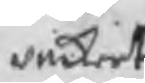vackert
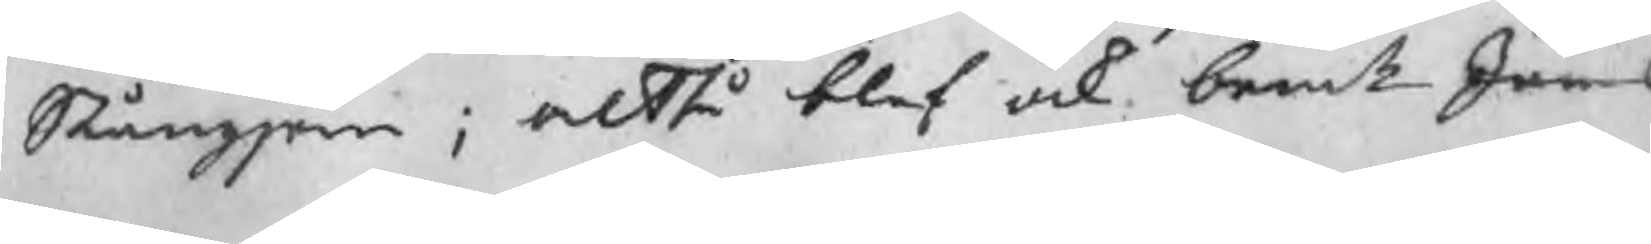Stångjärn; altså blef ock bemte Jonas
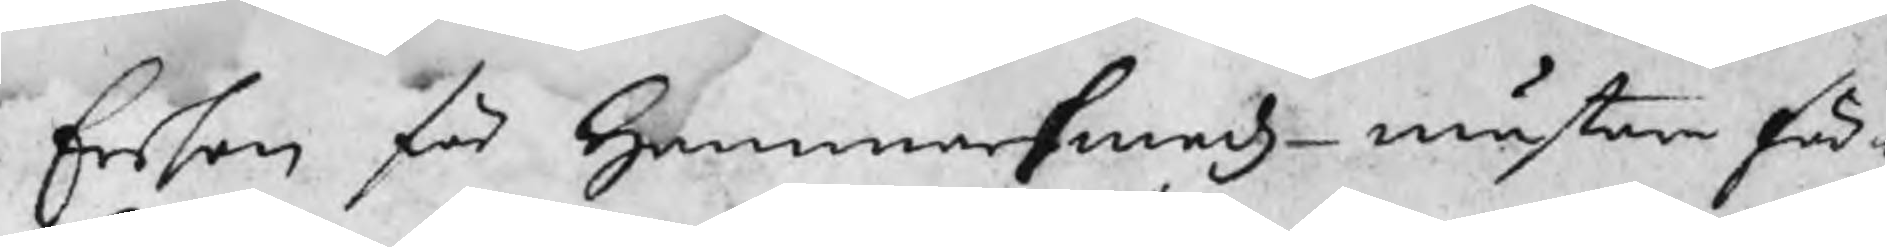Ersson för Hammarsmedz mästare för¬
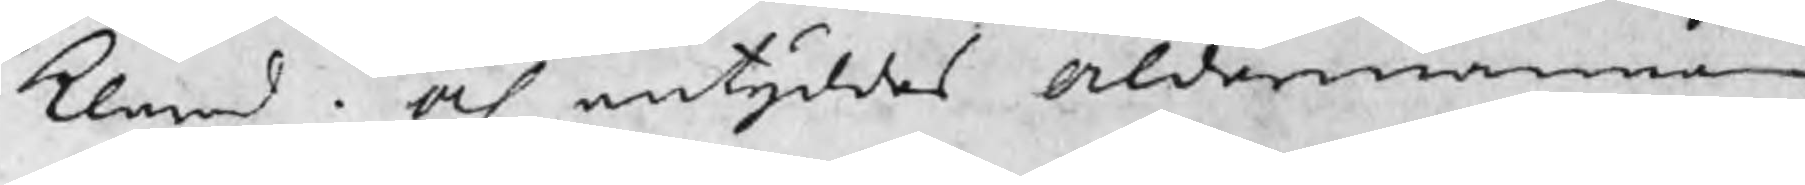klarad och antyddes Åldermannen
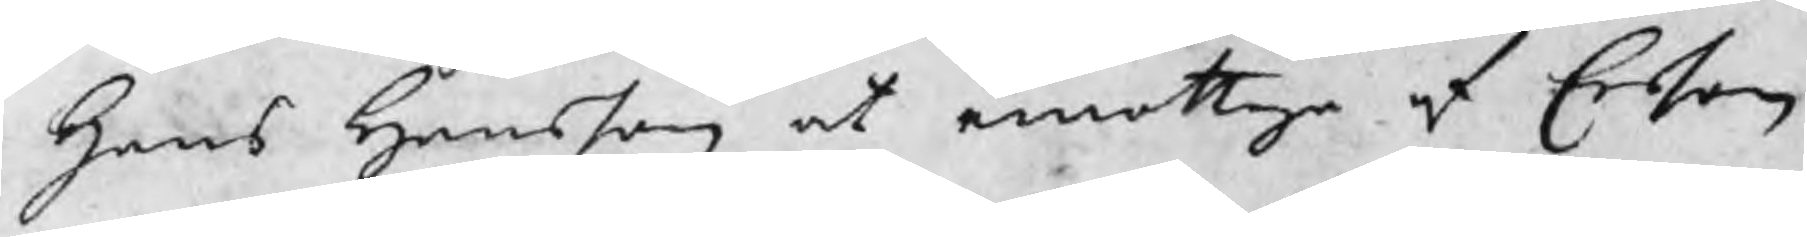Hans Hansson at emottaga af Ersson
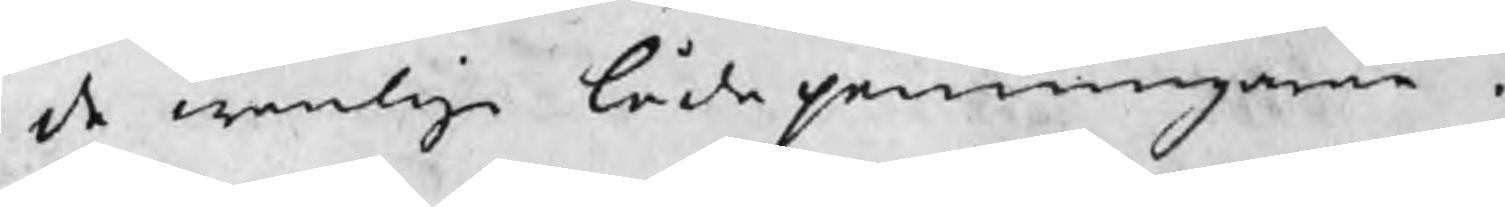de wanlige lådepenningarne.
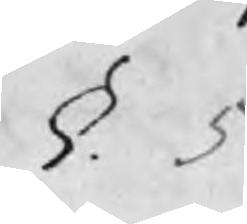§. 5
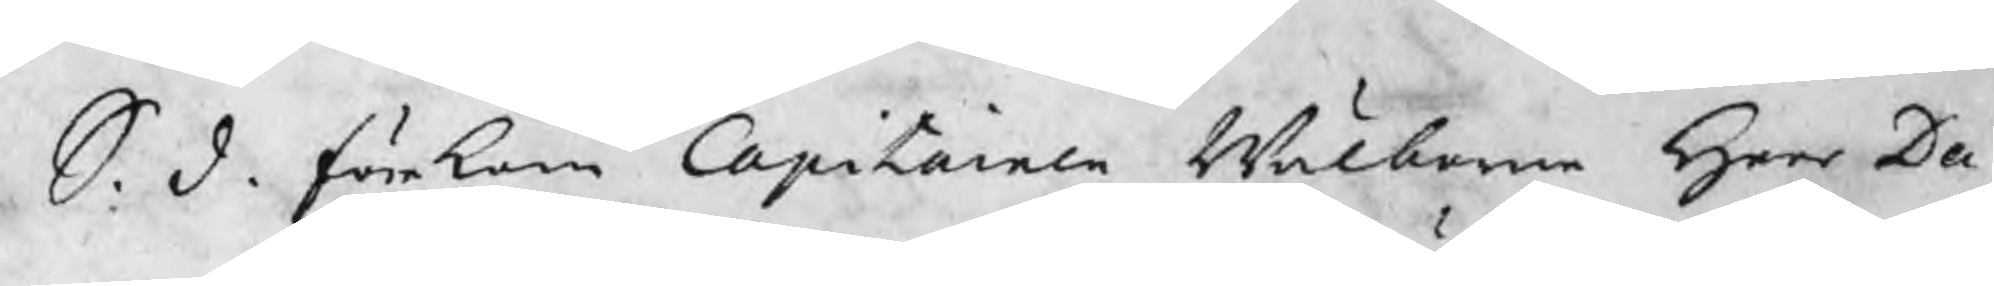S. d. förekom Capitainen Wälborne Herr Da¬
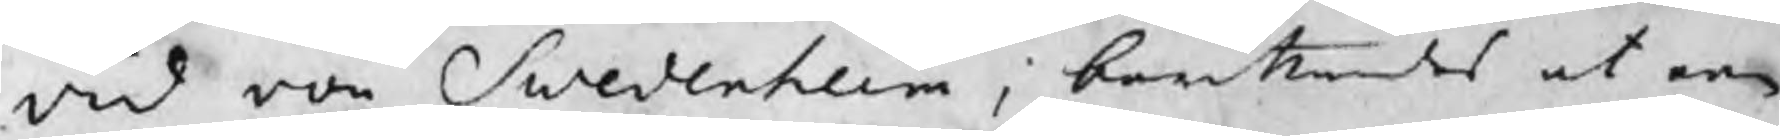vid von Swedenheim, berättandes at en
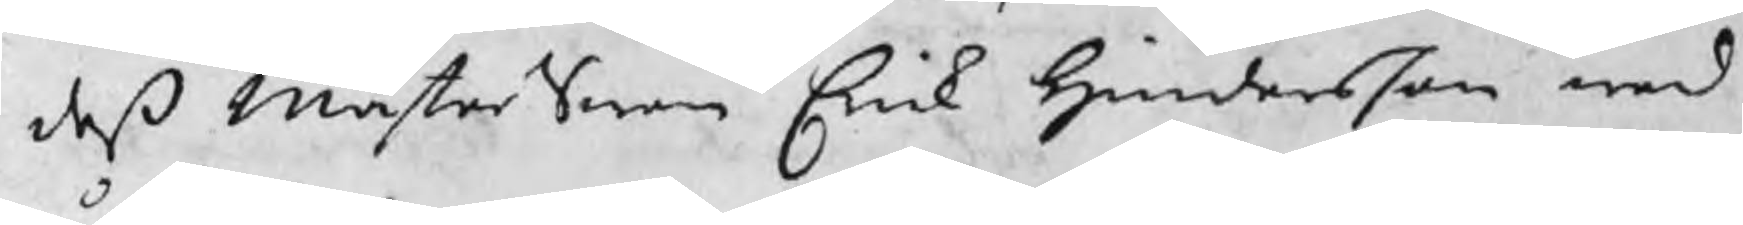deß MästerSwen Erik Hindersson wed
